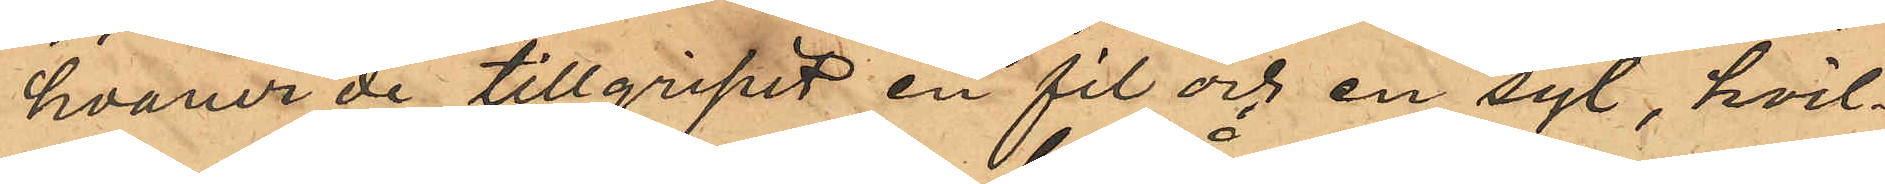hvarur de tillgripit en fil och en syl, hvil¬
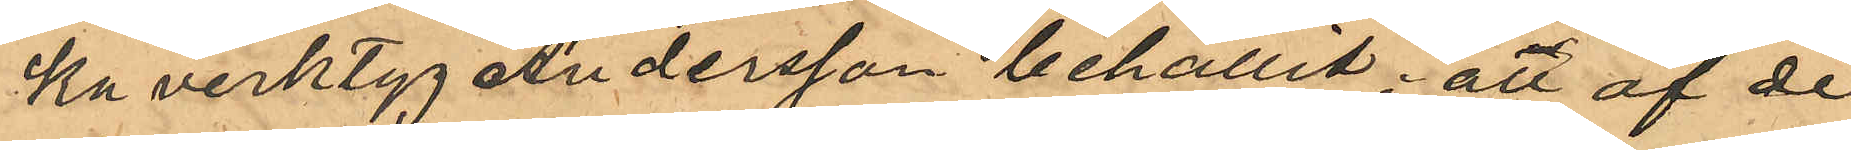ka verktyg Andersson behållit; att af de
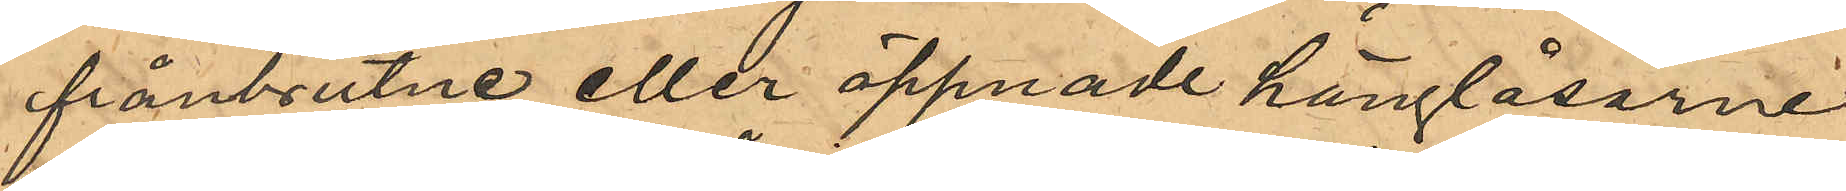frånbrutne eller öppnade hänglåsarne
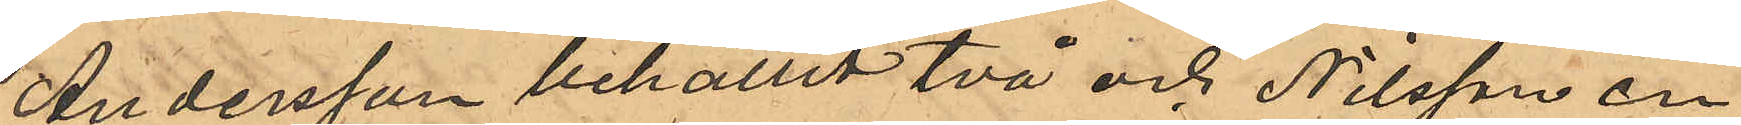Andersson behållit två och Nilsson en,
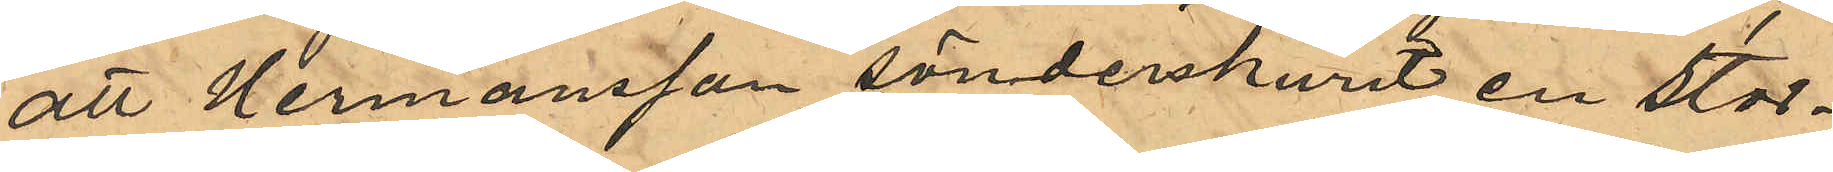att Hermansson sönderskurit en stor¬
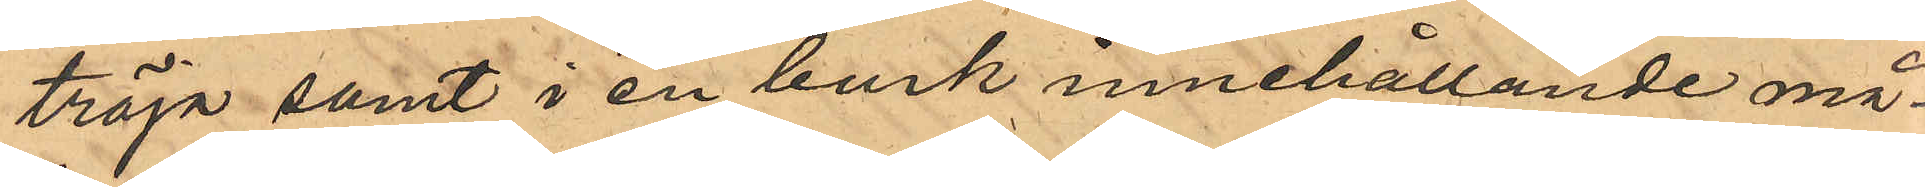tröja samt i en burk innehållande må¬
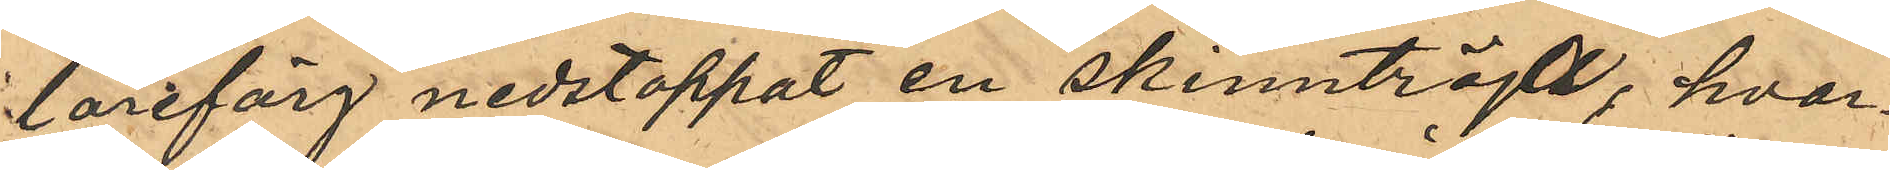lareförg nedstoppat en skinntröjta; hvar¬
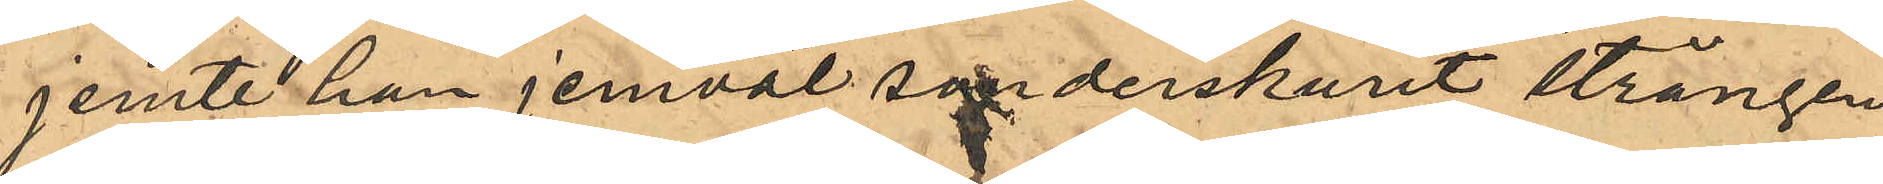jemte han jemväl sönderskurit strängen
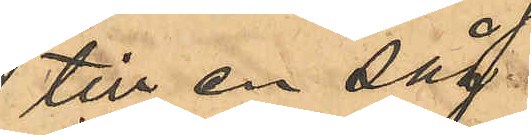till en såg.
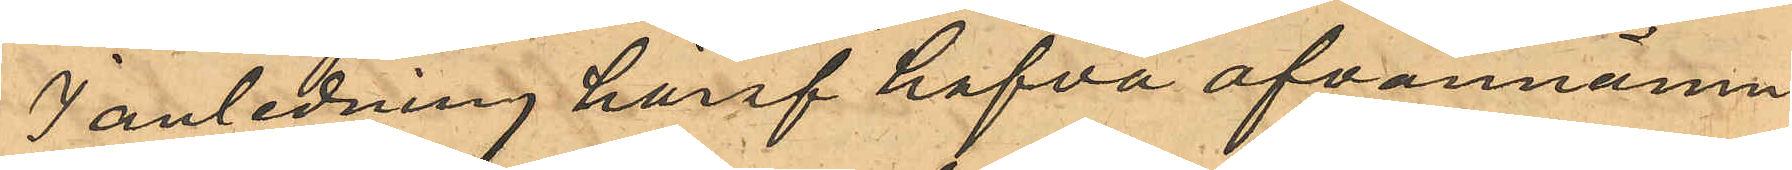I anledning häraf hafva ofvannämn¬
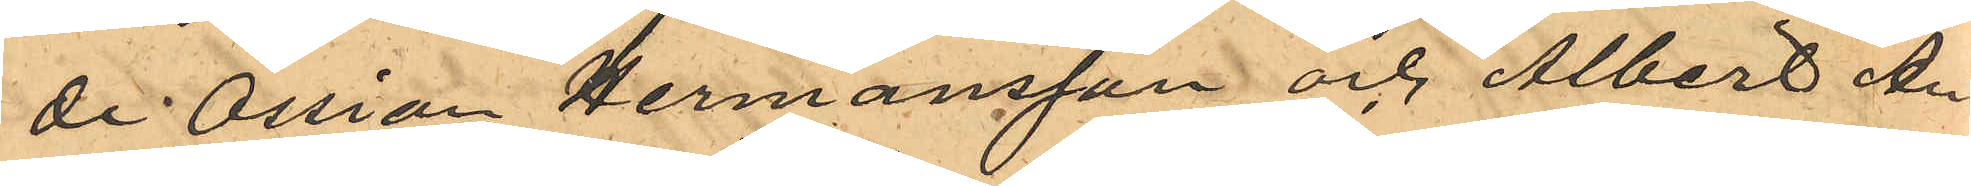de Ossian Hermansson och Albert An¬
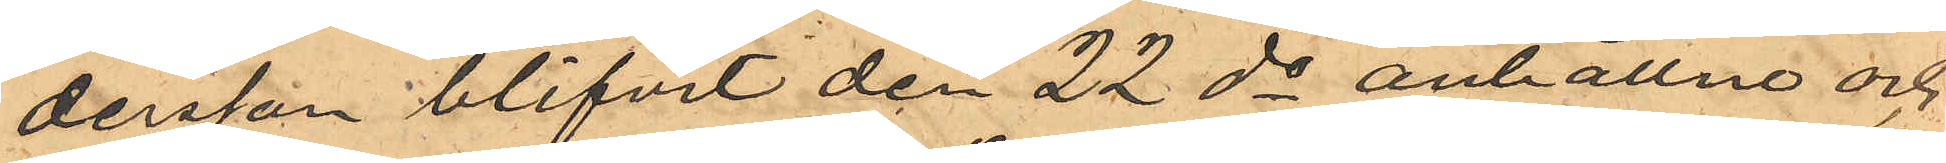dersson blifvit den 22 ds anhållne och
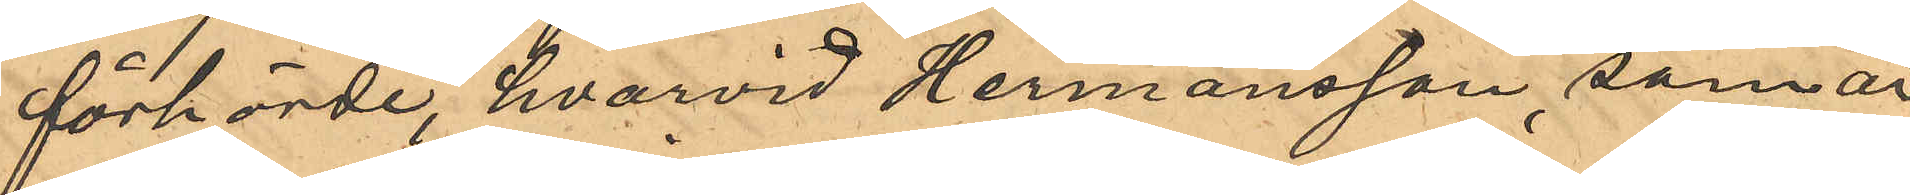förhörde, hvarvid Hermansson, som är
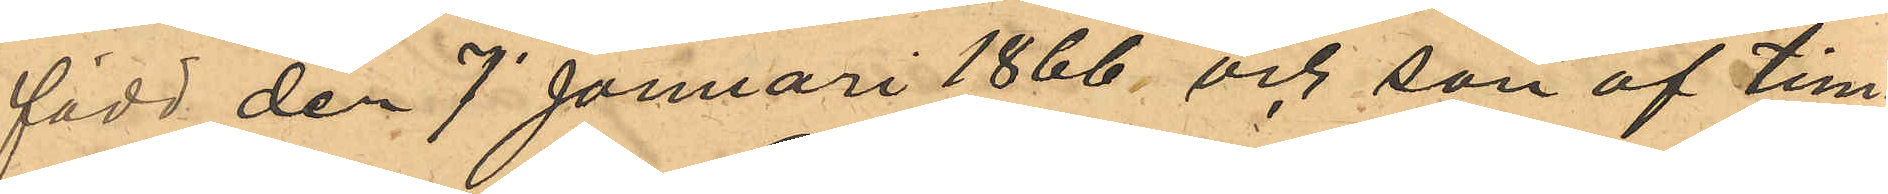född den 7 Januari 1866 och son af tim¬
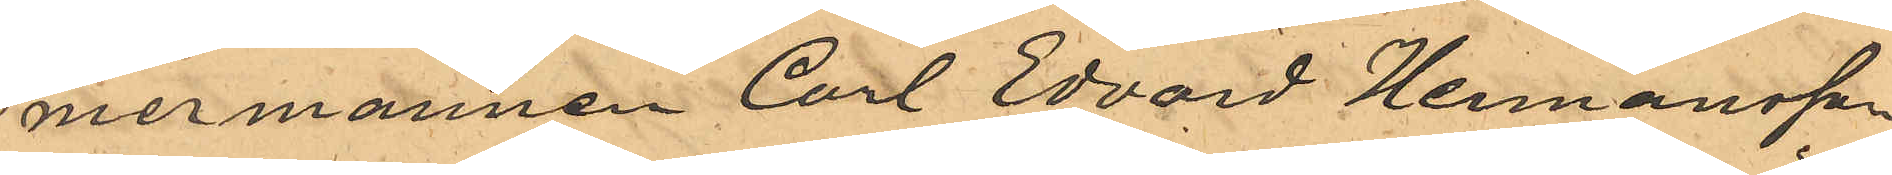mermannen Carl Edvard Hermansson
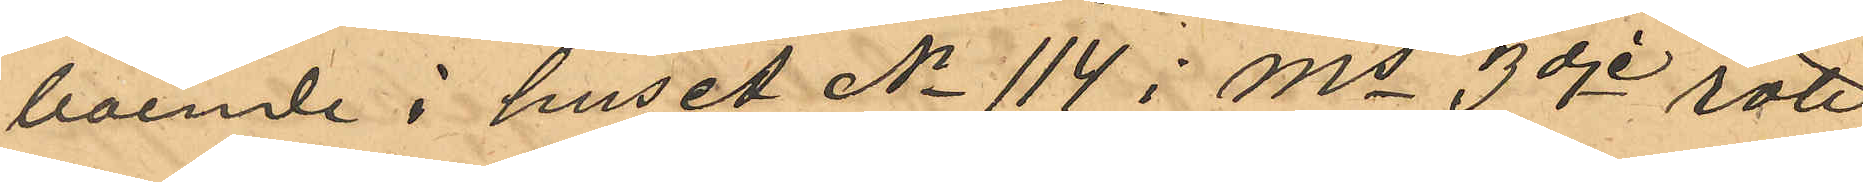boende i huset No 114 i Ms 3dje rote
